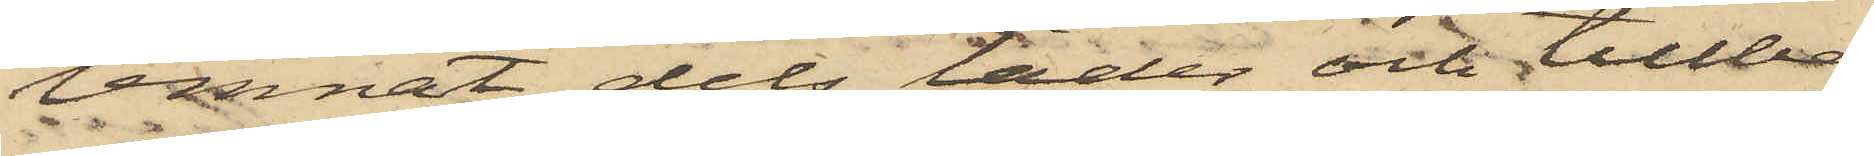lemnat dels läder och tillbe¬
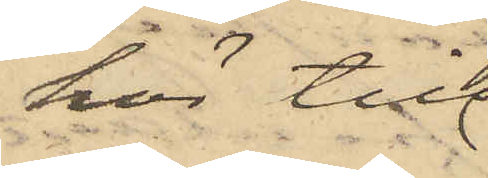hör till
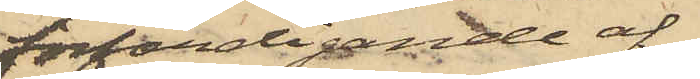förfärdigande af
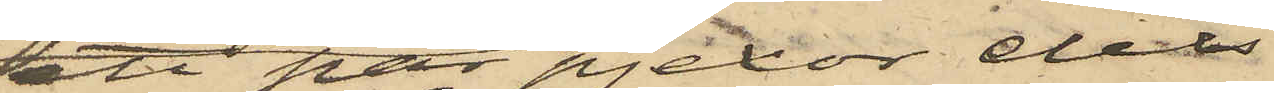att par pjexor dels
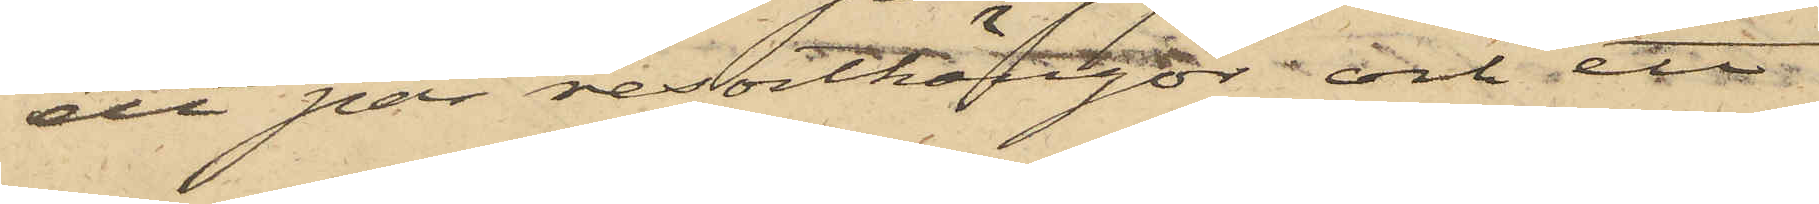ett par resortkängor och ett
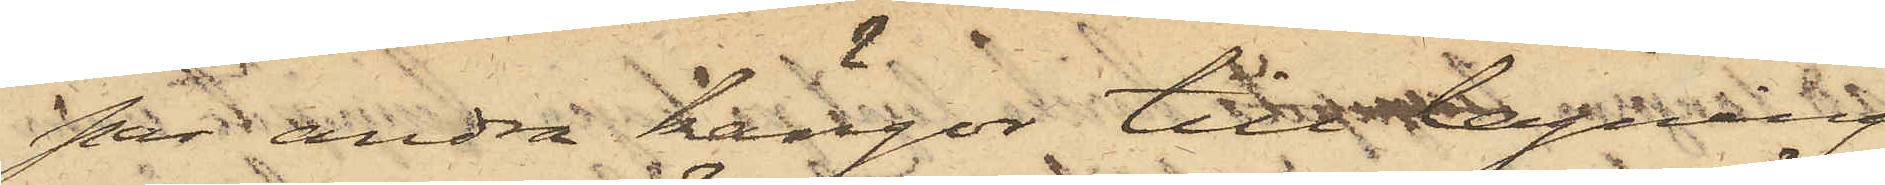par andra kängor till lagning
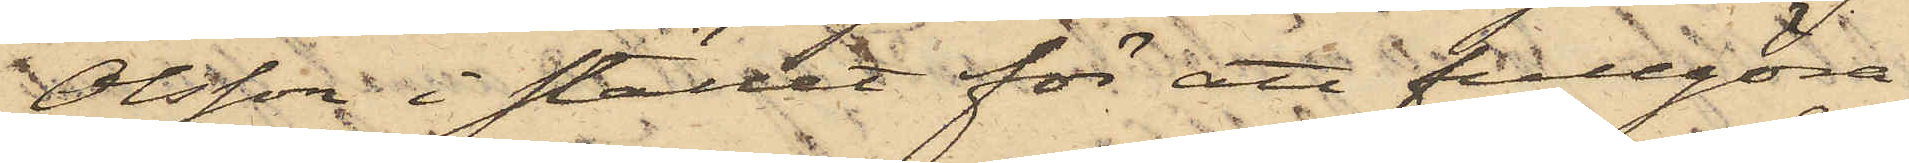Olsson i stället för att fullgöra
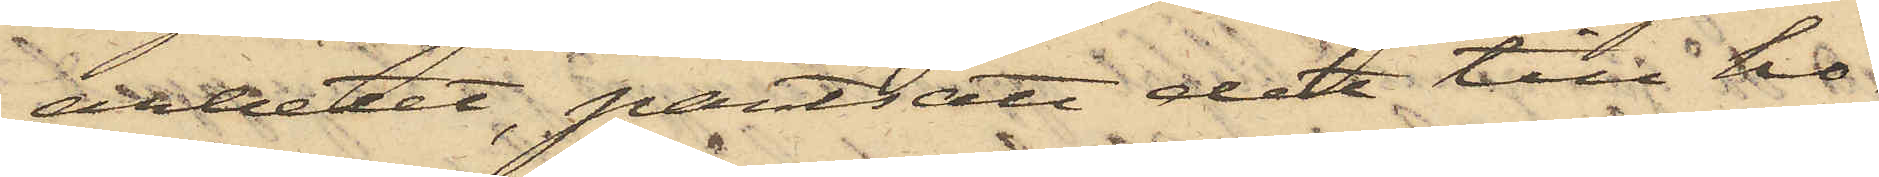arbetet, pantsatt det till ho¬
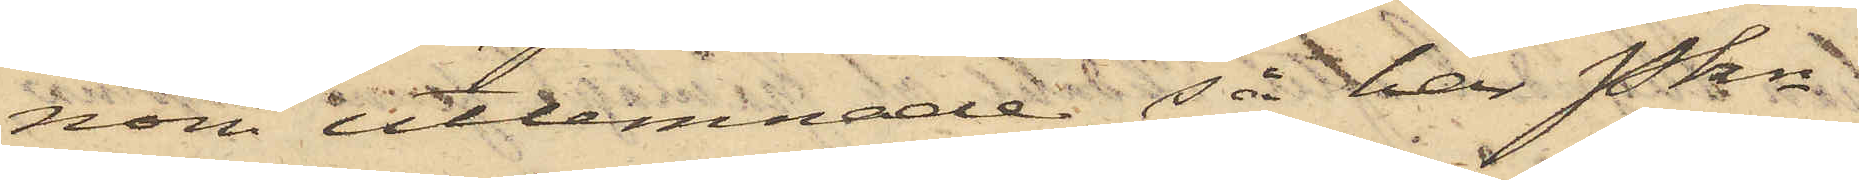nom utlemnade; så har Pkn
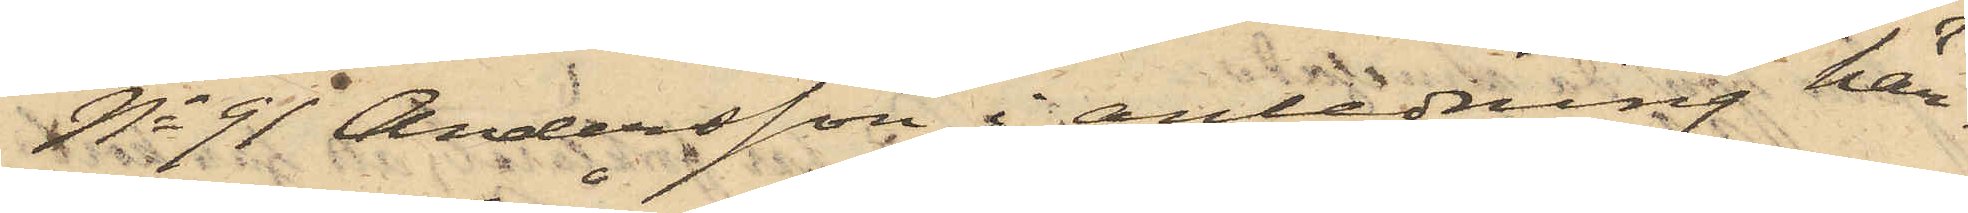No 91 Andersson i anledning här¬
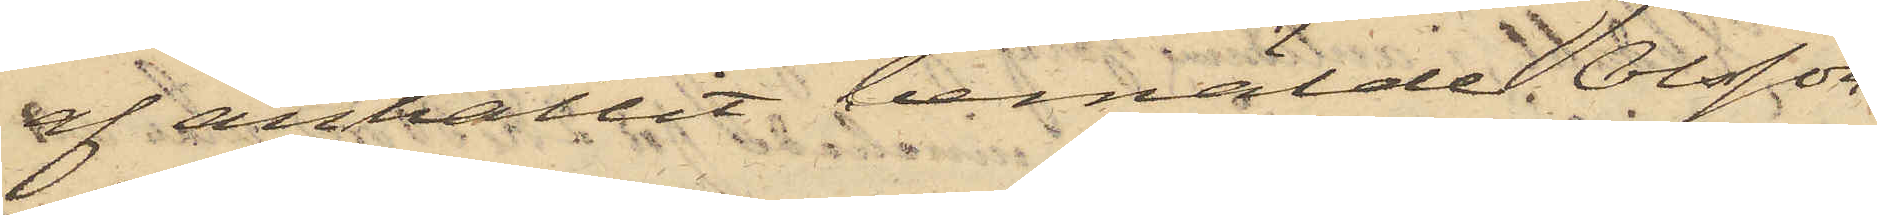af anhållit bemälde Olsson,
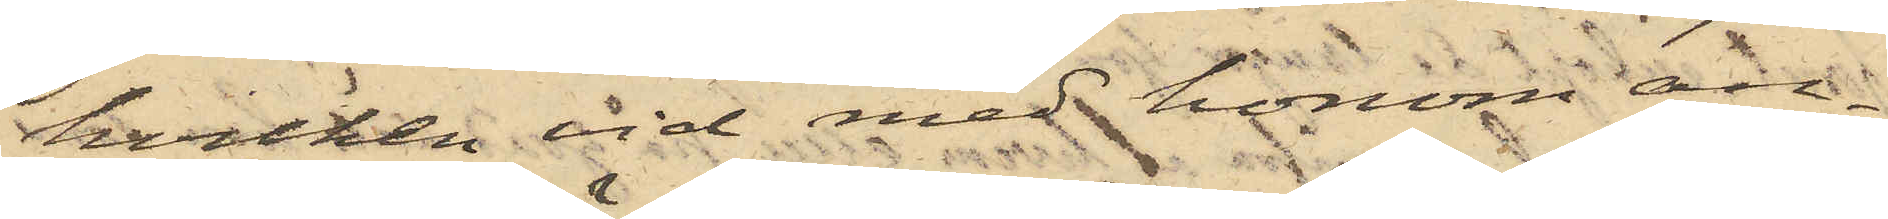hvilken vid med honom an¬
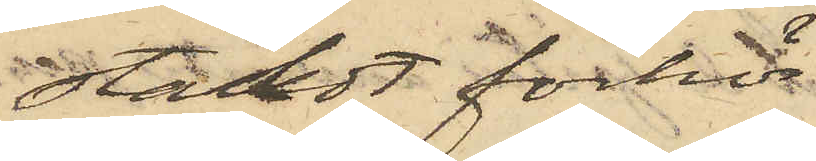stäldt förhör
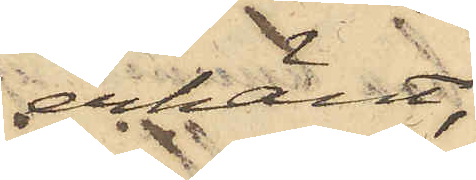erkänt,
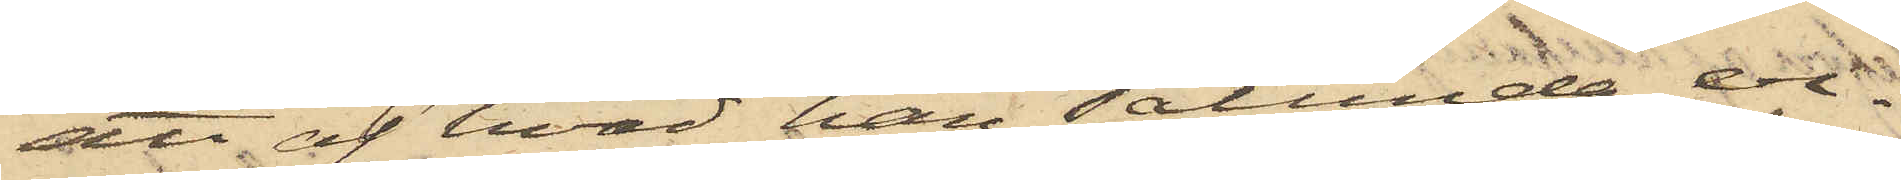att af hvad han sålunda er¬
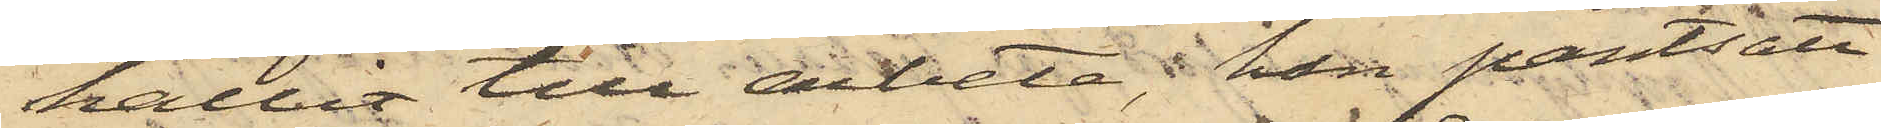hållit till arbete, han pantsatt
